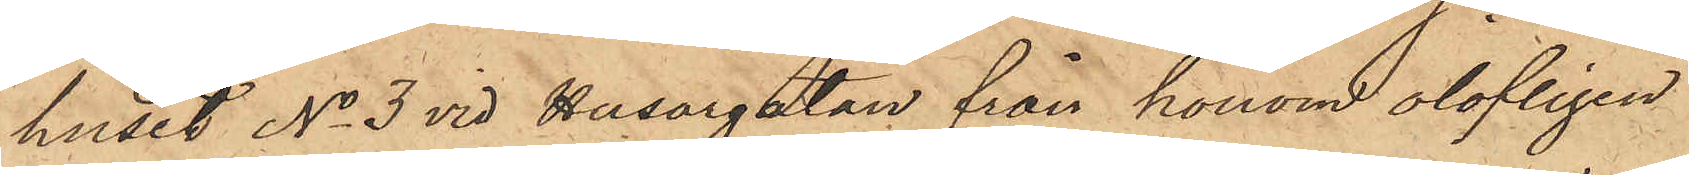huset No 3 vid Husargatan från honom olofligen
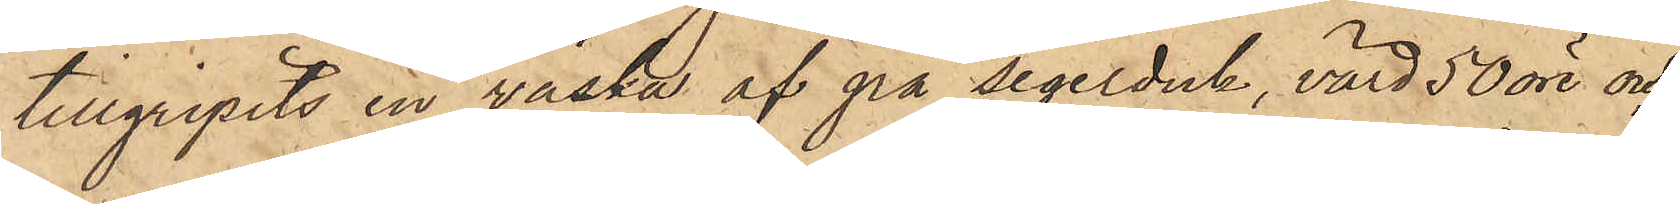tillgripits en väska af grå segelduk, värd 50 öre och
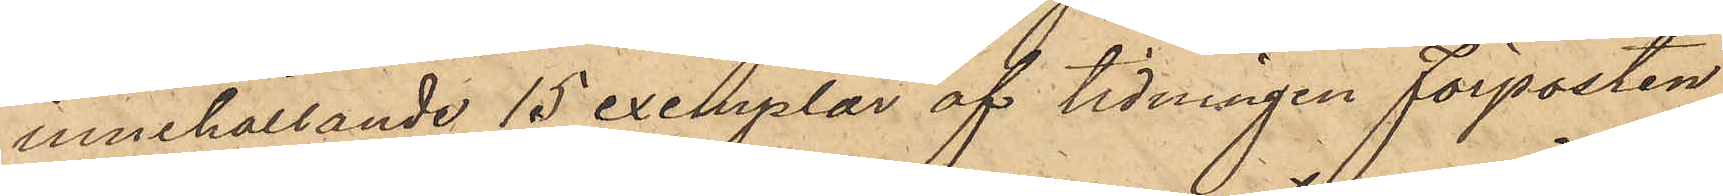innehållande 15 exemplar af tidningen Förposten,
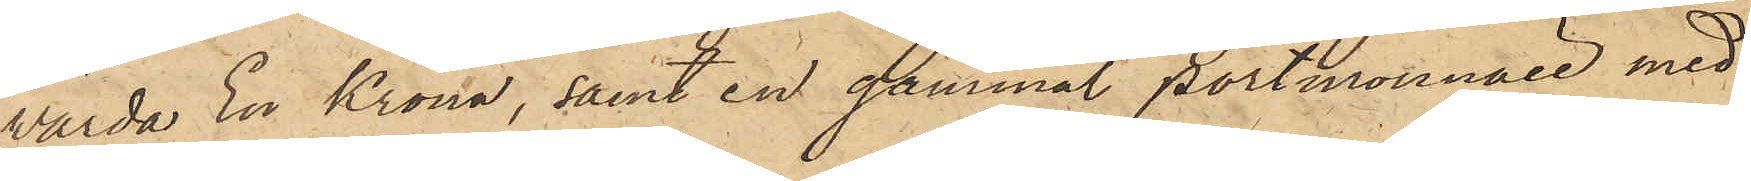värda En Krona, samt en gammal portmonnaie med
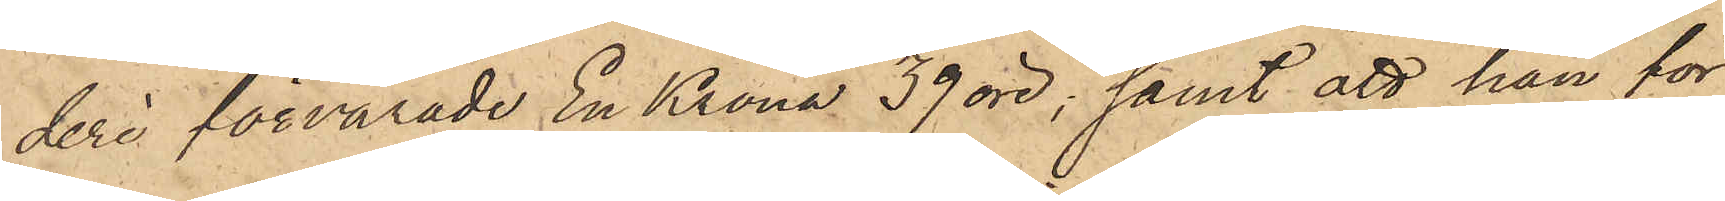deri förvarade En Krona 39 öre, samt att han för
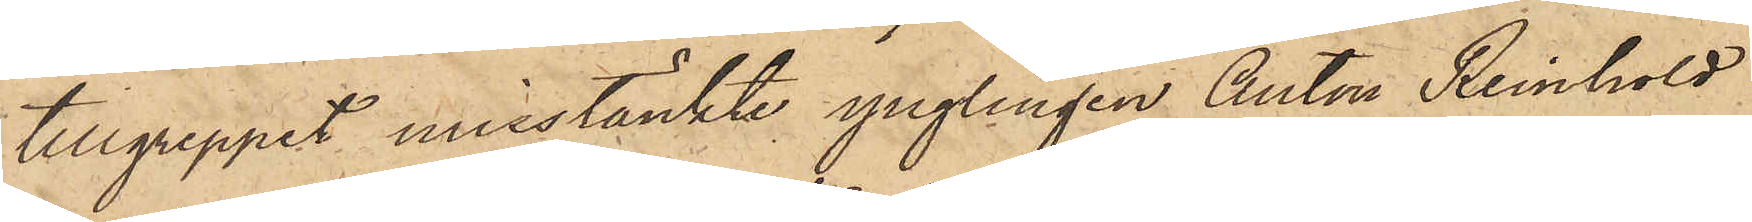tillgreppet misstänkte ynglingen Anton Reinhold
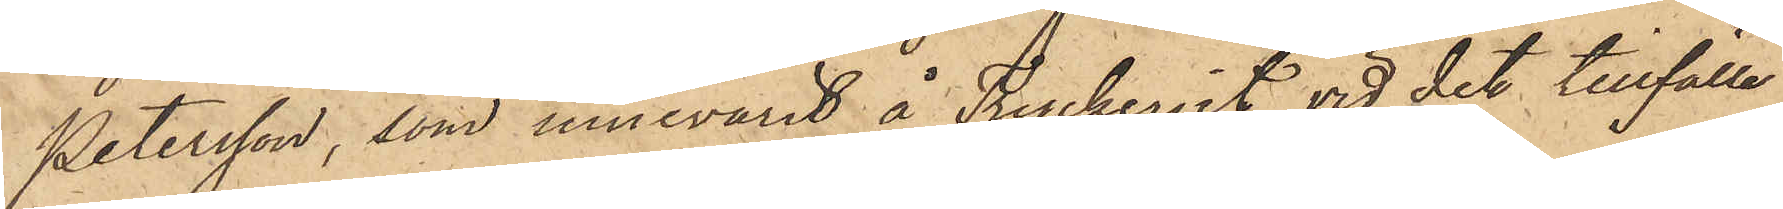Petersson, som innevarit å Tryckeriet vid det tillfälle
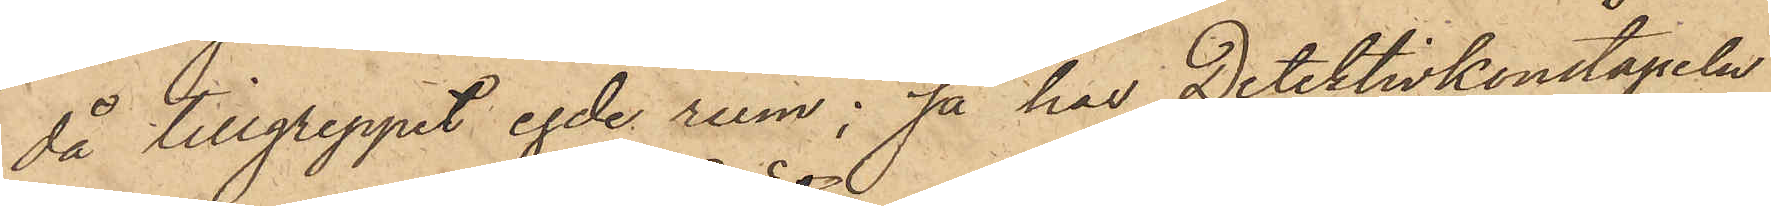då tillgreppet egde rum; så har Detektivkonstapeln
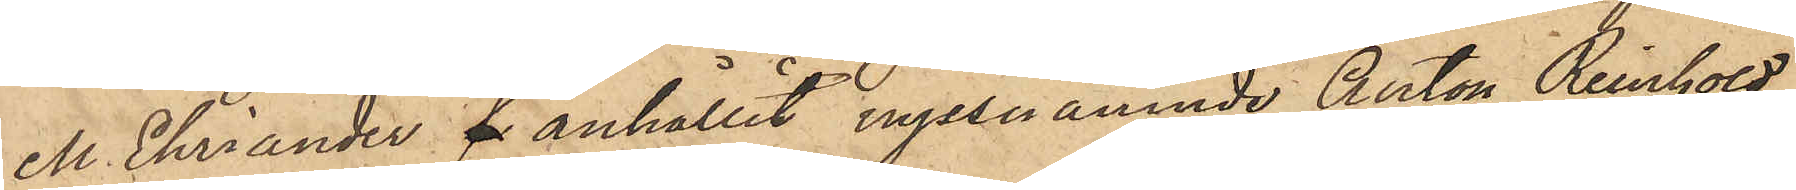M. Ehriander fr anhållit nyssnämnde Anton Reinhold
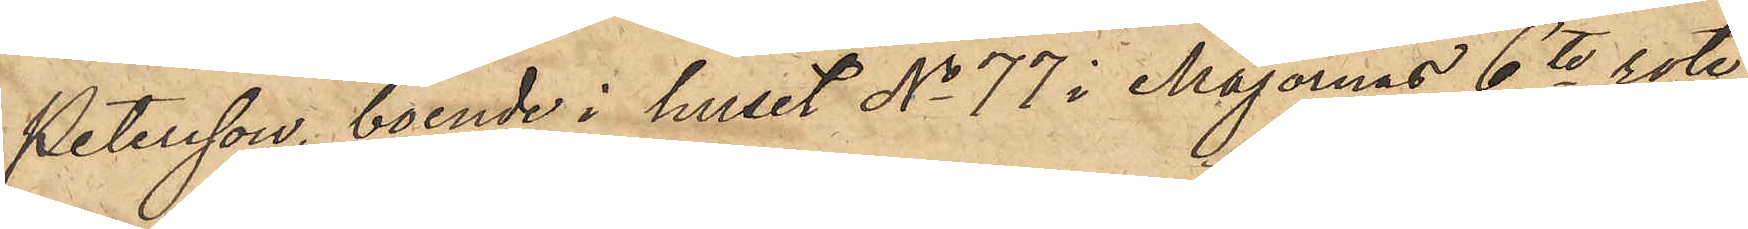Petersson, boende i huset No 77 i Majornas 6te rote,
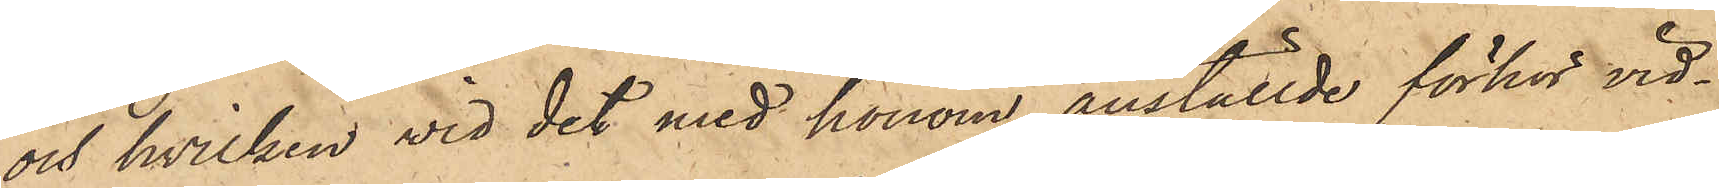och hvilken vid det med honom anställde förhör vid¬
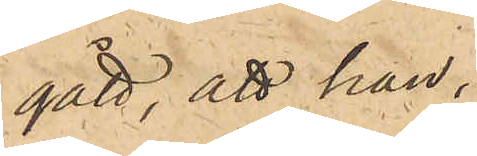gått, att han,
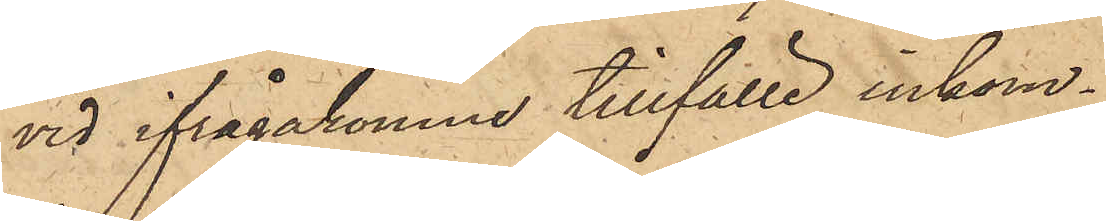vid ifrågakomne tillfälle inkom¬
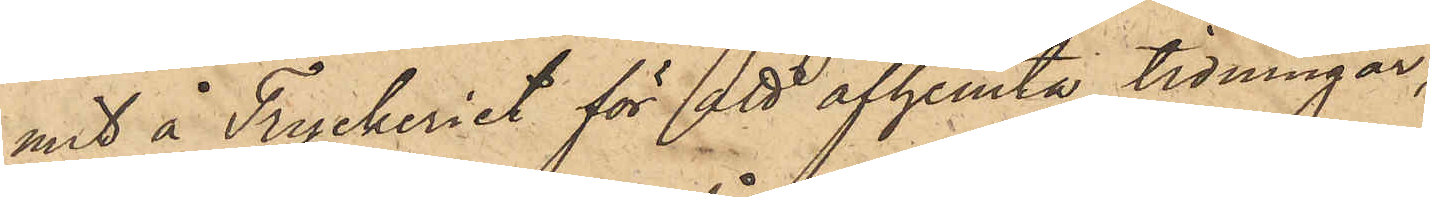mit å Tryckeriet för att afhemta tidningar,
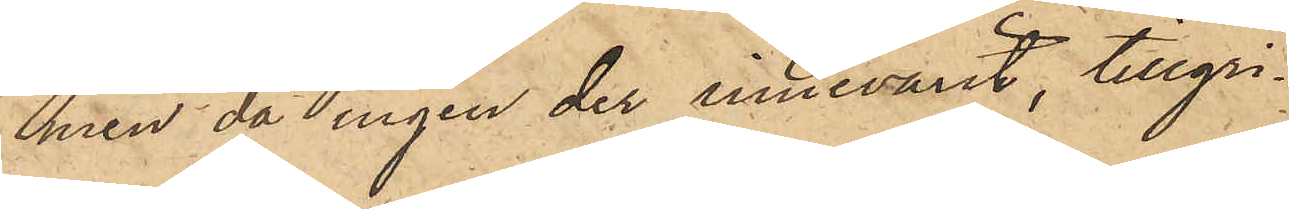men då ingen der innevarit, tillgri¬
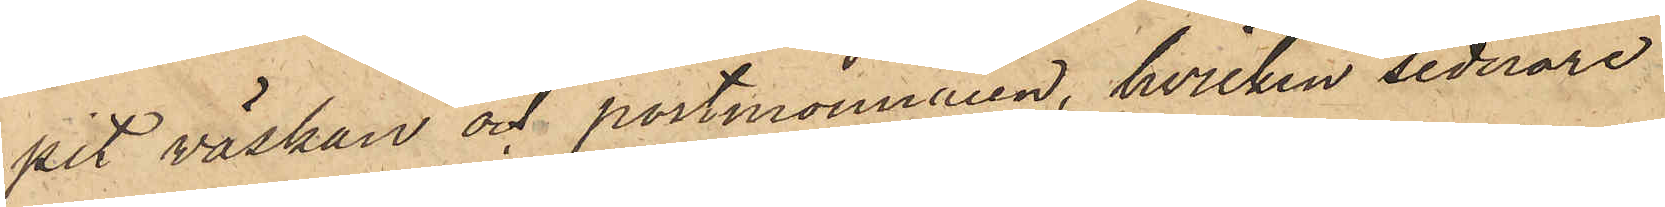pit väskan och portmonnaien, hvilken sednare
